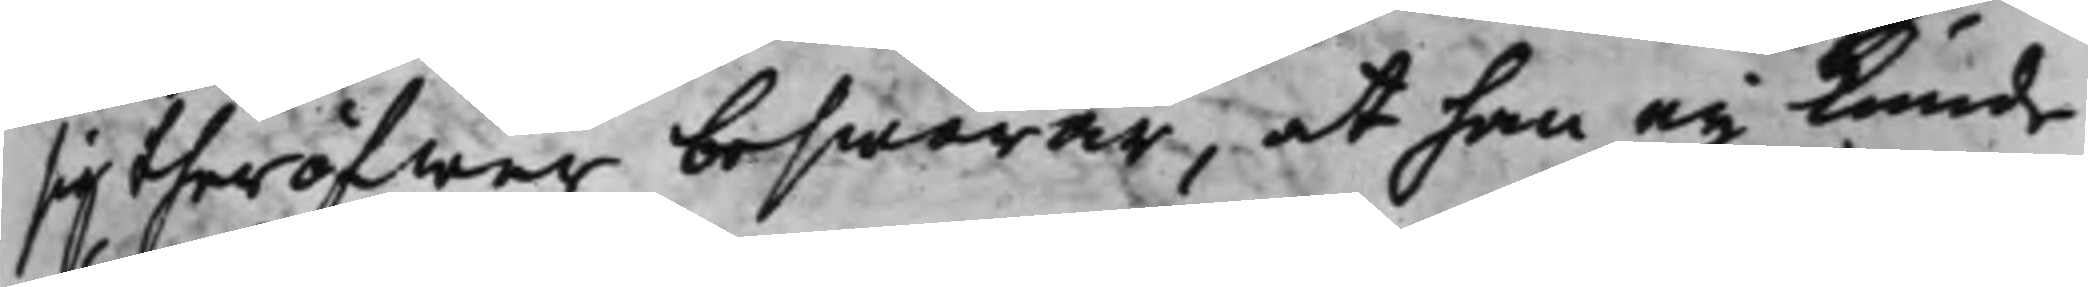sig theröfwer beswärar, at han eij kunde
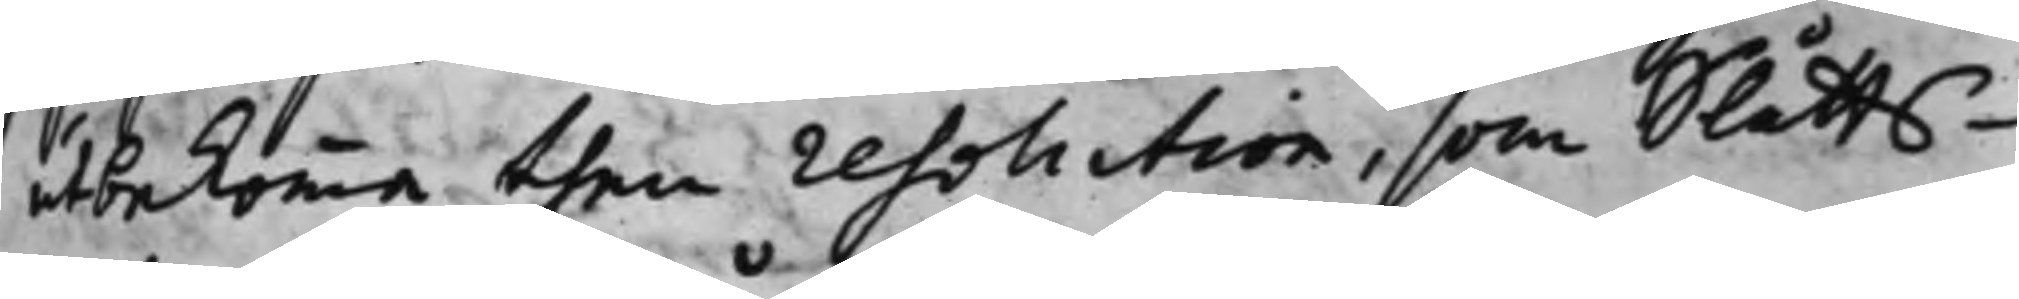utbekomma then resolution, som Slåtts¬
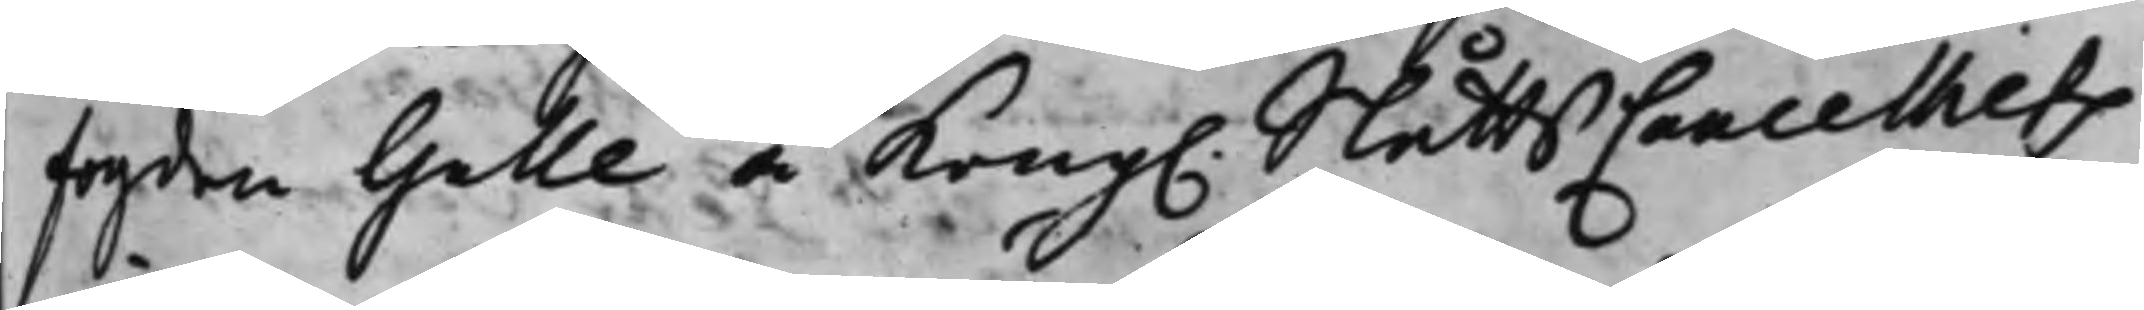fogden Galle å Kong. SlåttsCancelliets
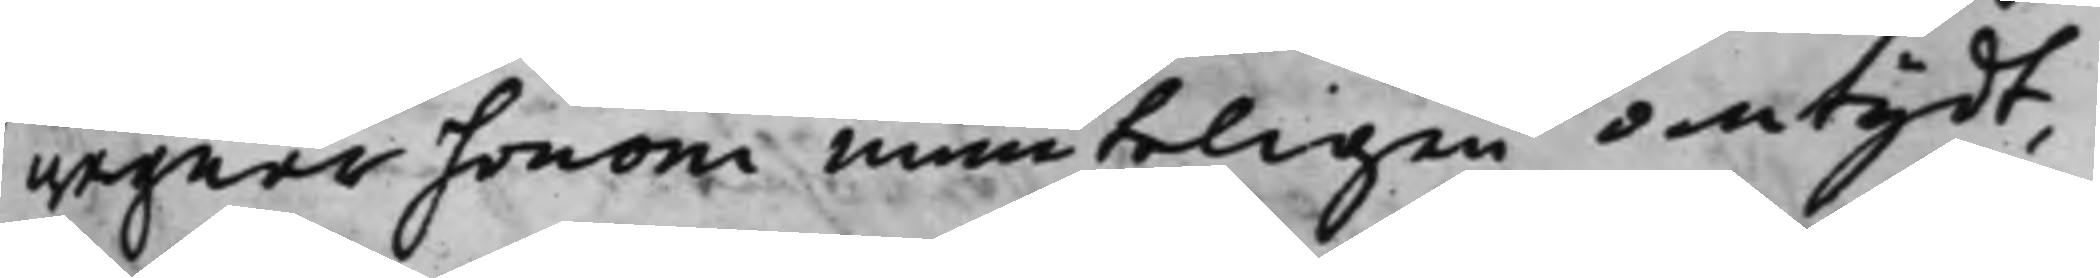wägnar honom munteligen antydt,
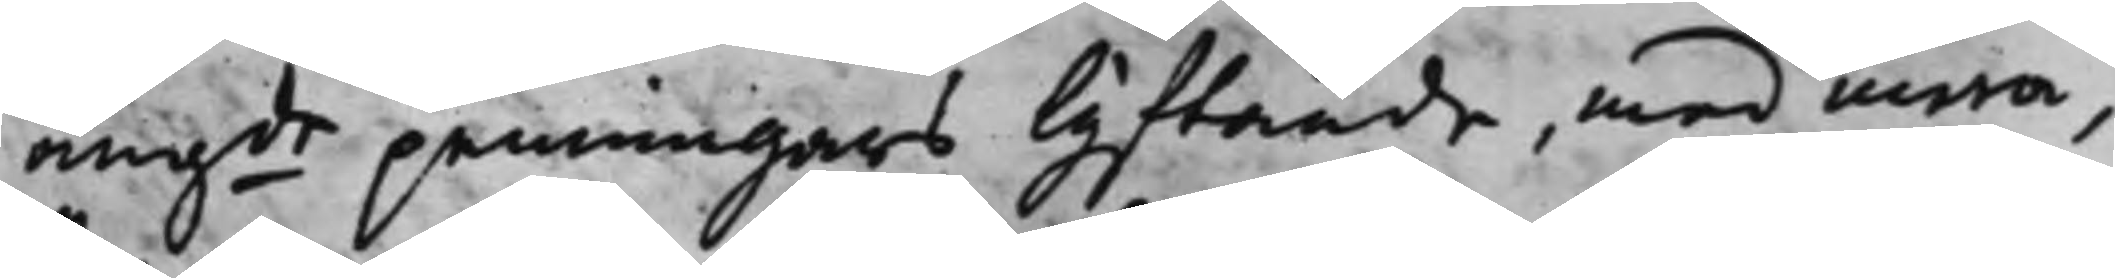angde penningars lyfftande, med mera,
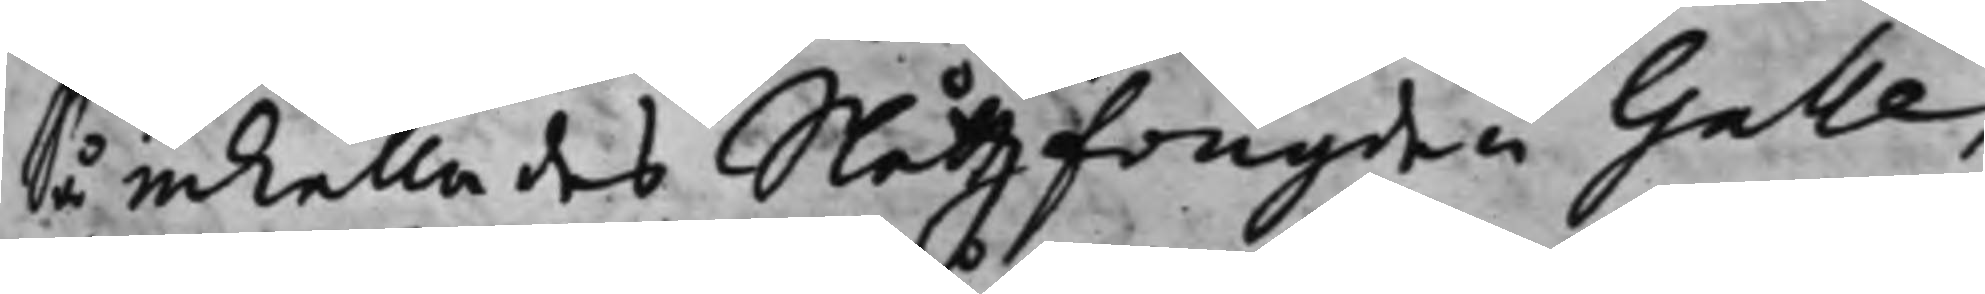så inkallades Slåttzfougden Galle,
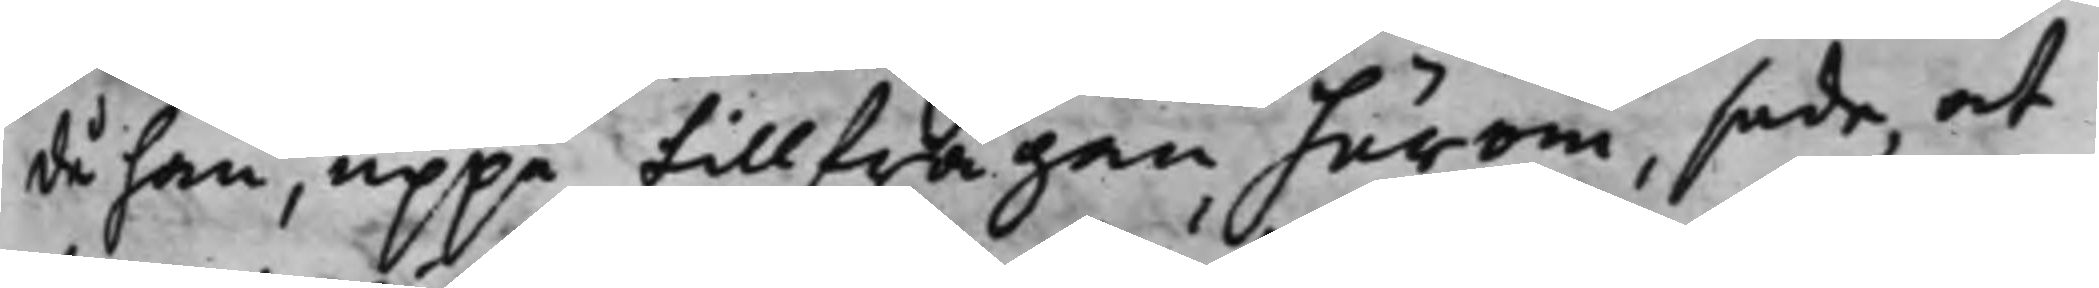då han, uppå tillfrågan härom, sade, at
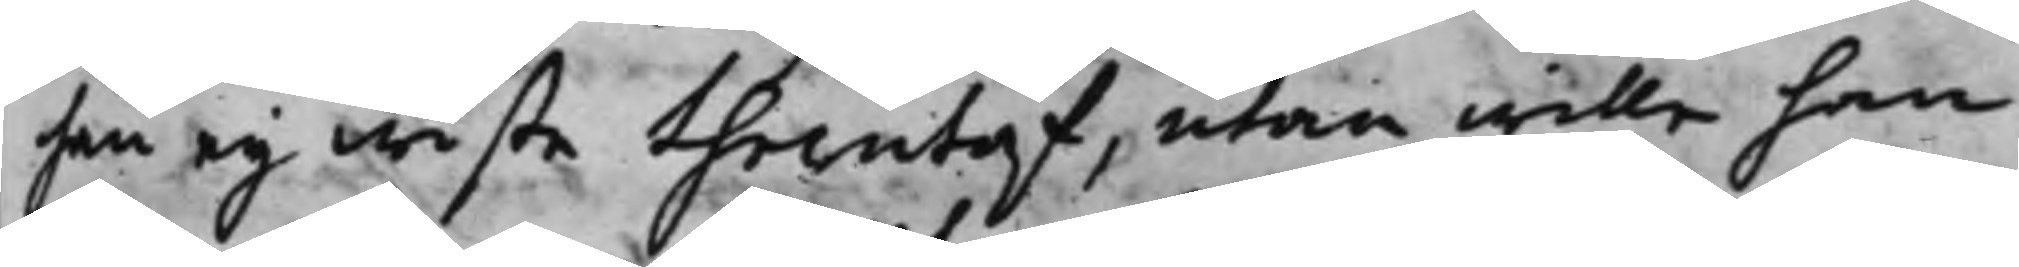han eij wiste therutaf, utan wille han
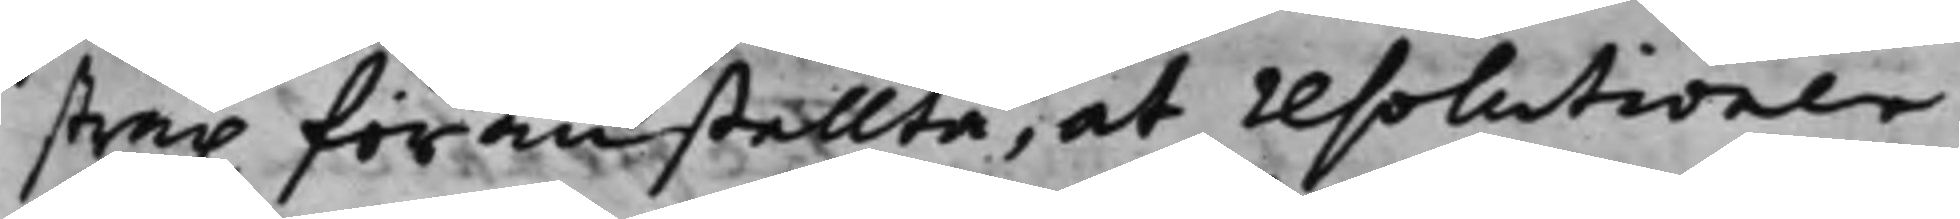strax föranstallta, at resolutionen
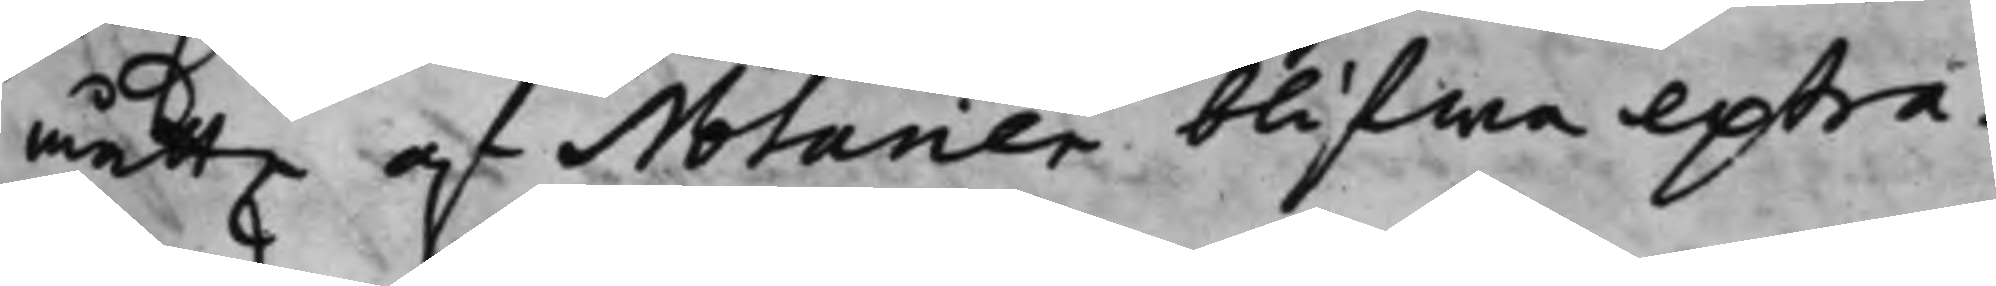måtte af Notarien blifwa extra¬
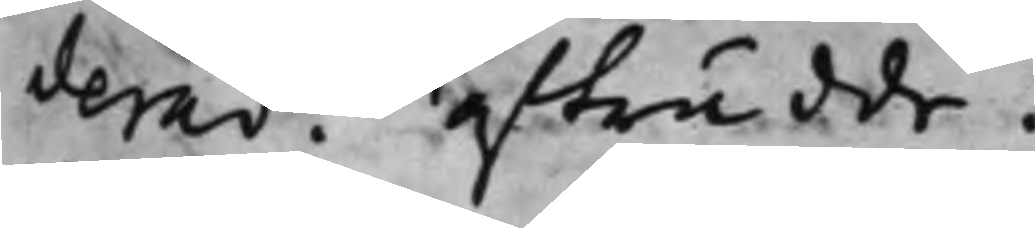derad. afträdde.
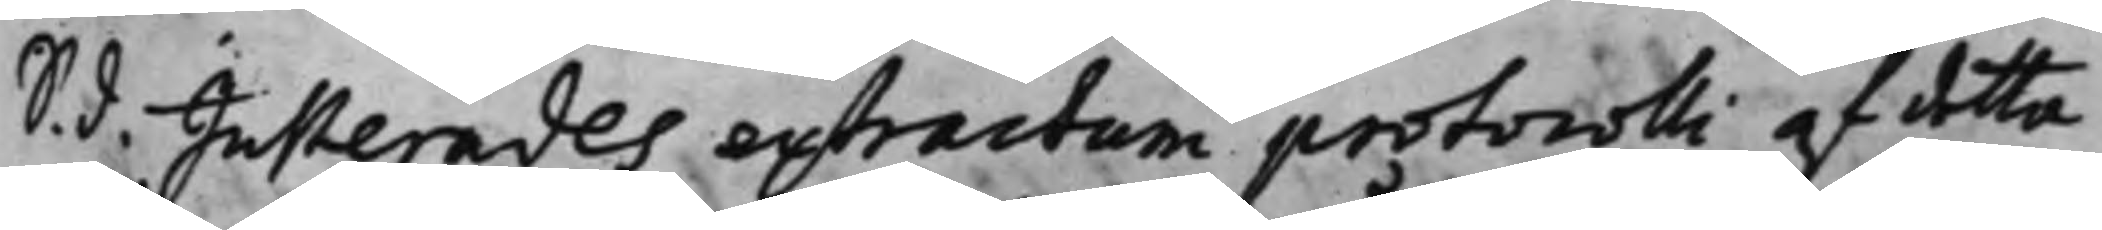S. d. Justerades extractum protocolli af detta
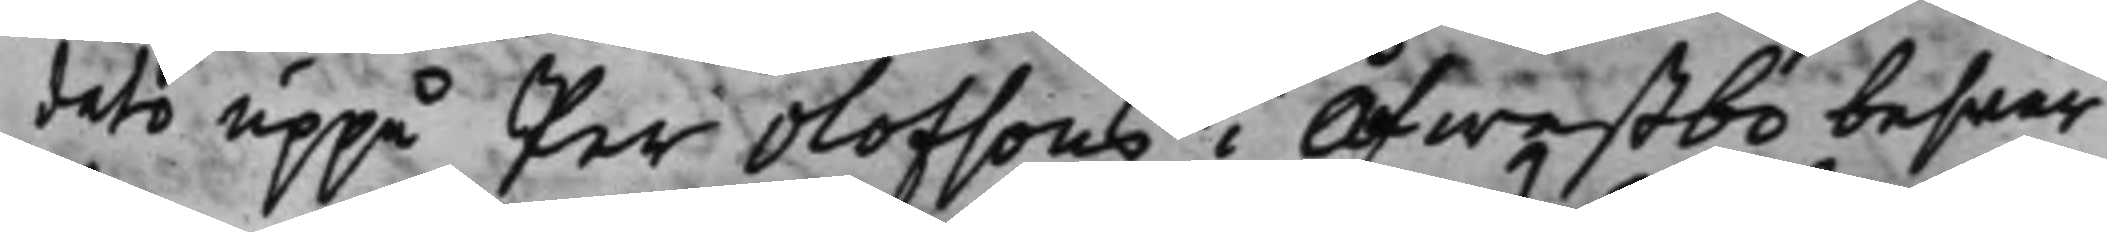dato uppå Per Olofsons i Öfwestbo beswär
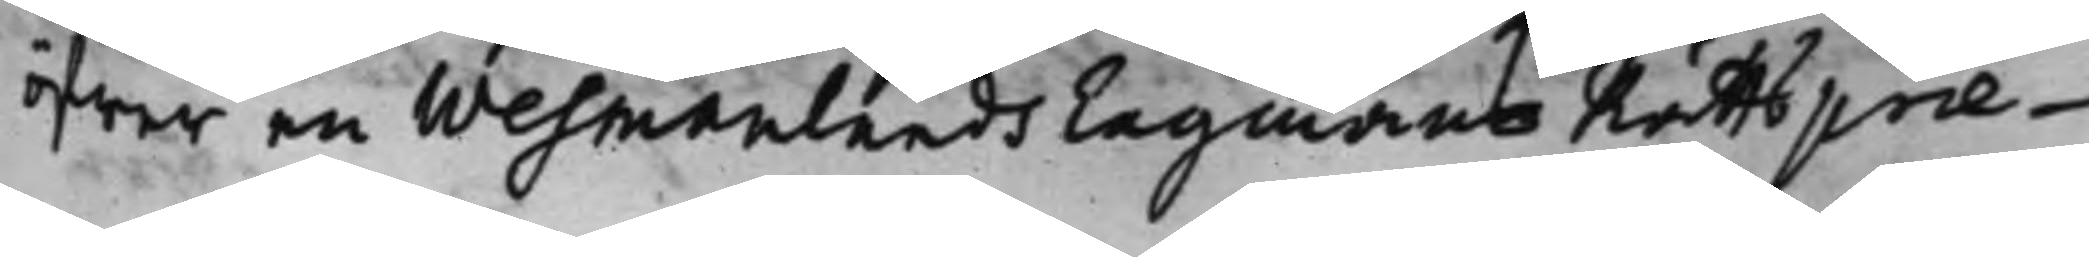öfwer en Wesmanlands Lagmans Rätts præ¬
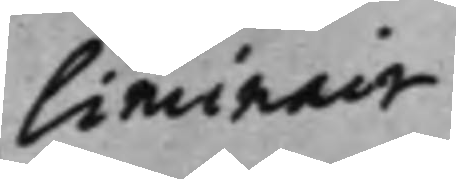liminair
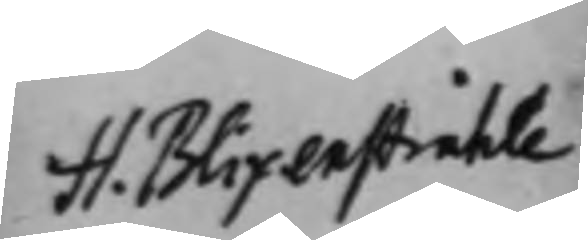H. Blixenstråhle
